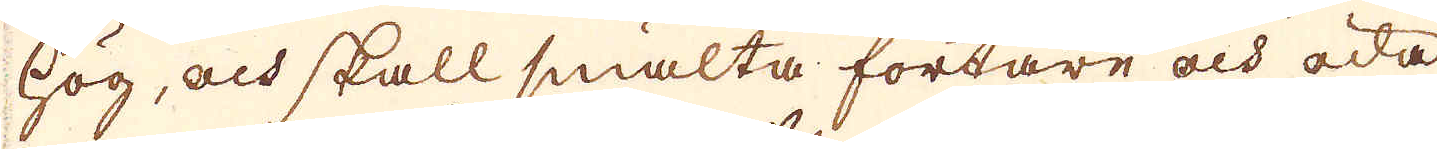hög, och skall smälta fortare och öda
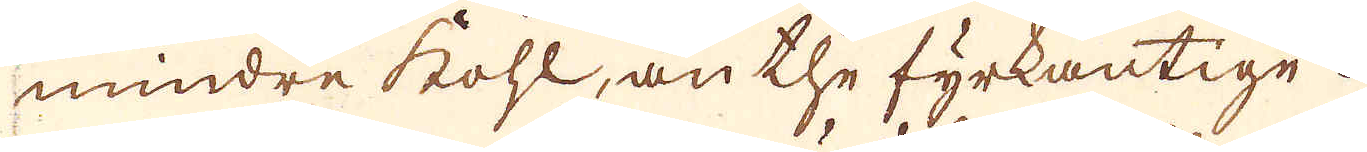mindre kohl, än the fyrkantige.
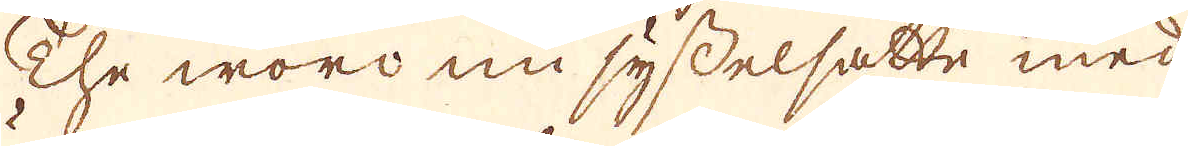The woro nu sysselsatte med
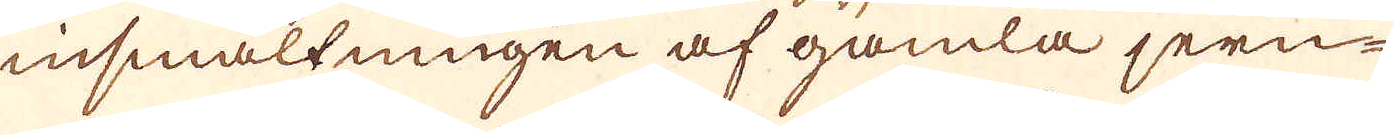insmältningen af gamla jern-
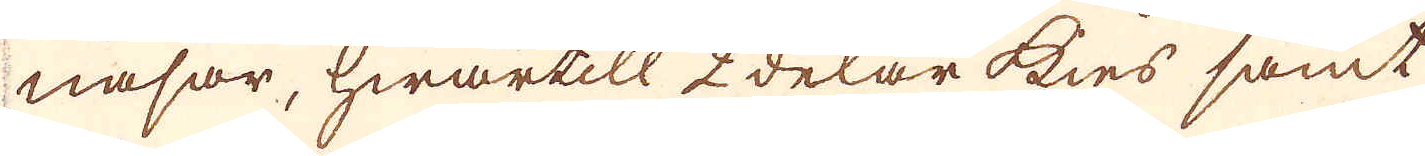nasar, hwartill 2 delar kies samt
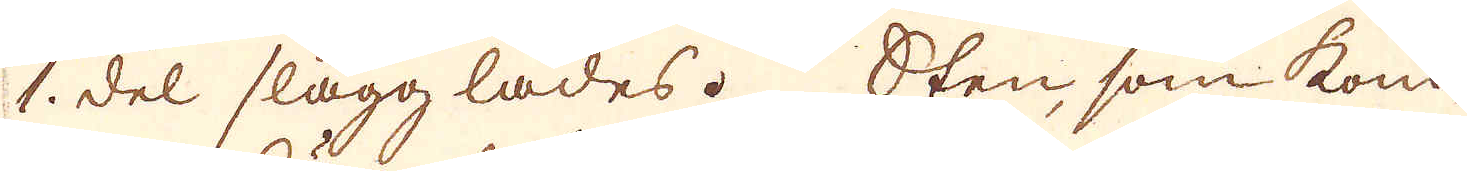1. del slagg lades. Sten, som kom-
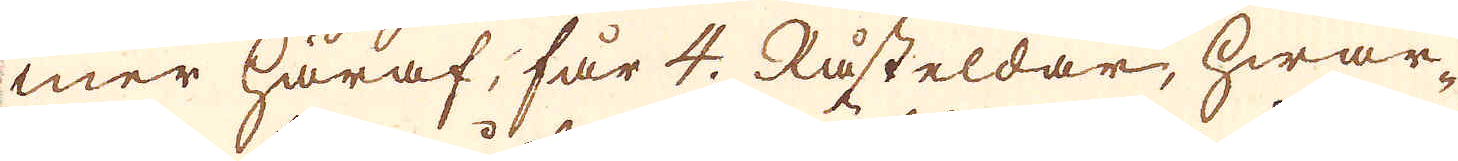mer häraf, får 4. Råsteldar, hwar-
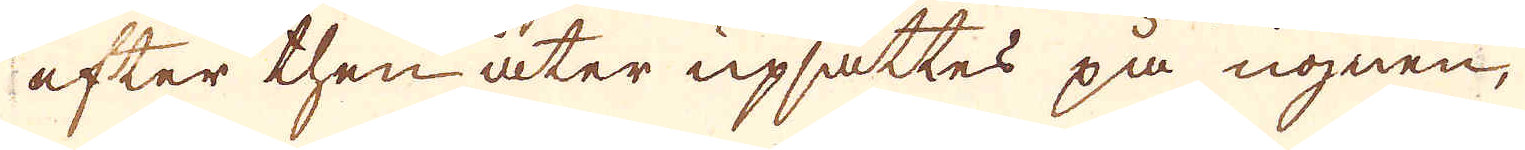efter then åter upsättes på ugnen,
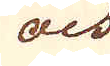och
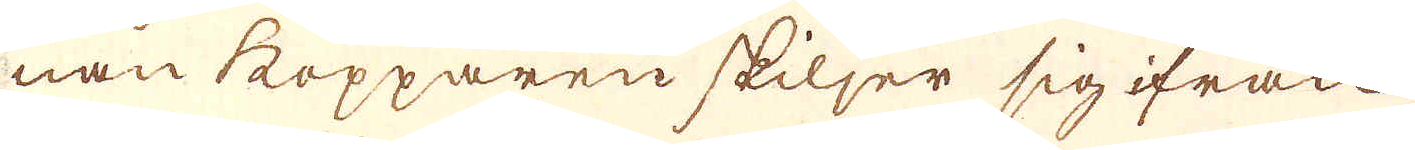nan kopparen skiljer sig ifrån
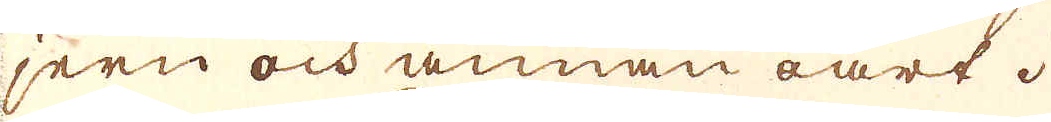jern och annan oart.
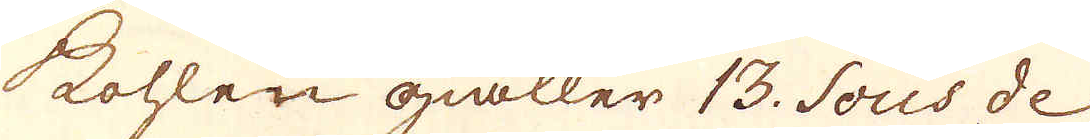Kohlen giäller 13. Sous de
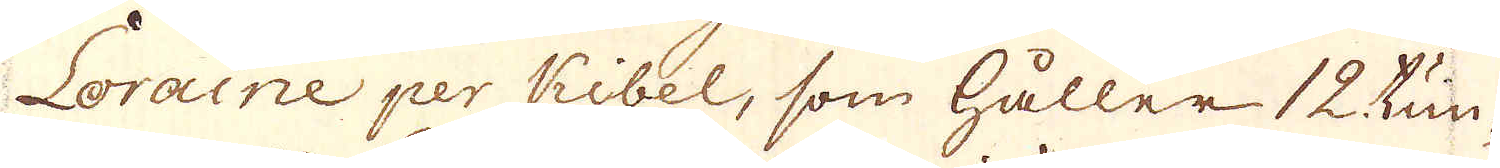Loraine per Kibel, som håller 12 tun-
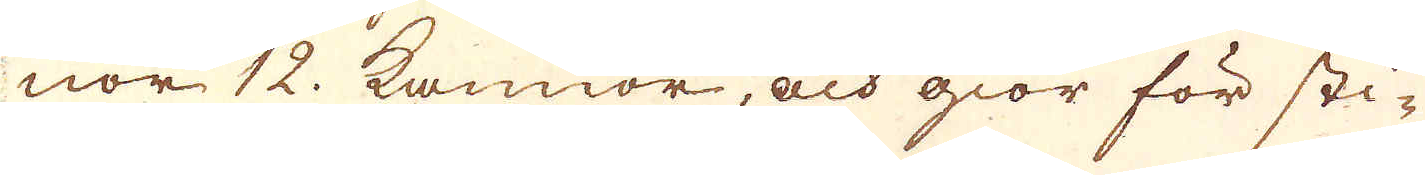nor 12. kannor, och giör för sti-
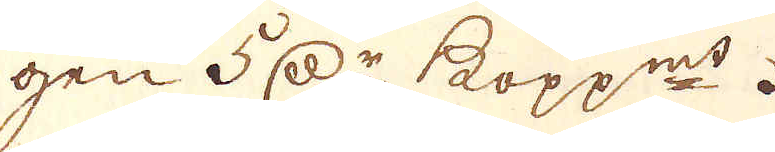gen 5. d:r kopp:mt.
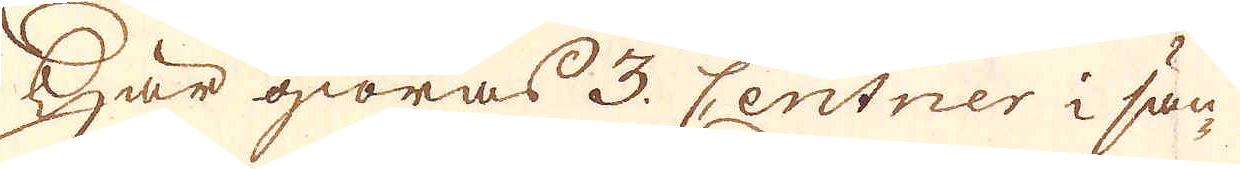Här giöras 3. Centner i sän-
